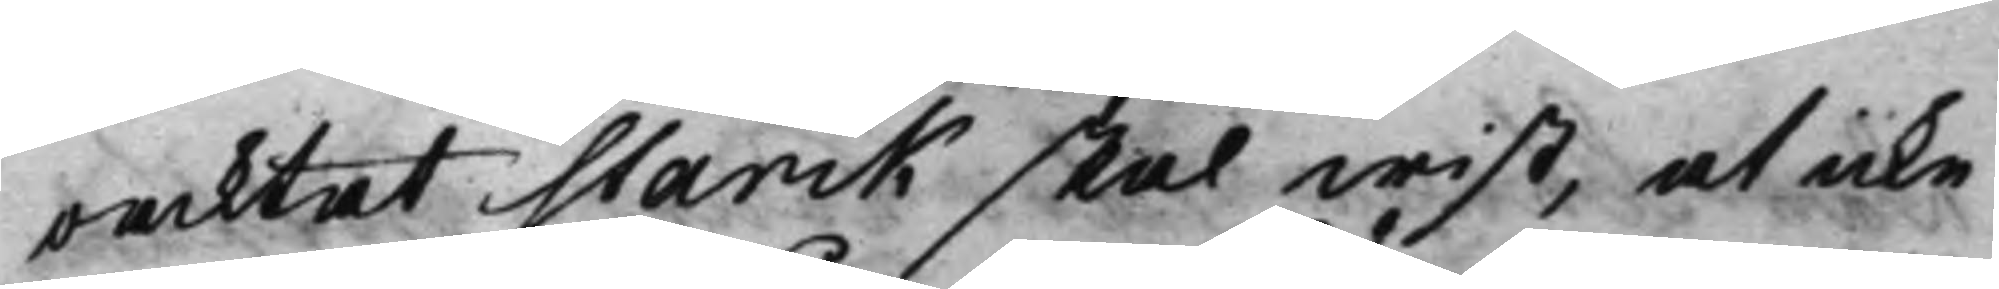oacktat Starck skal wist, at icke
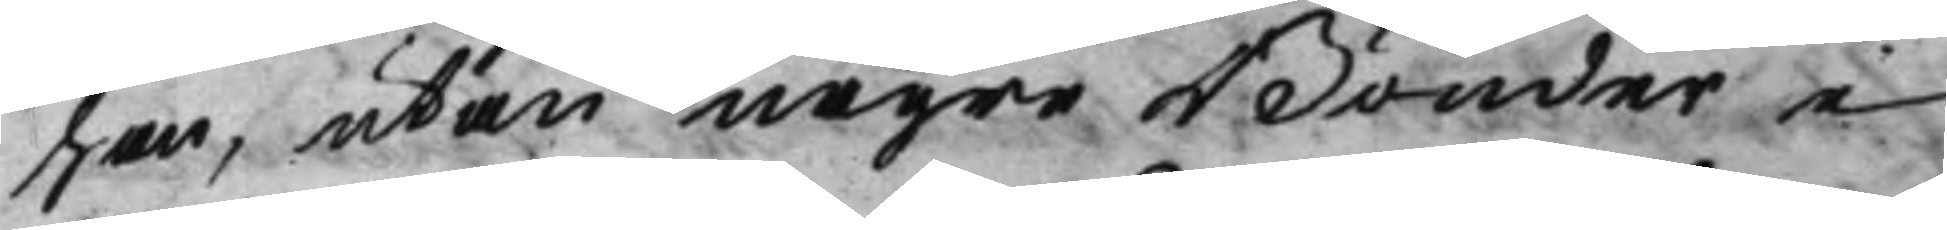han, utan någre Bönder i
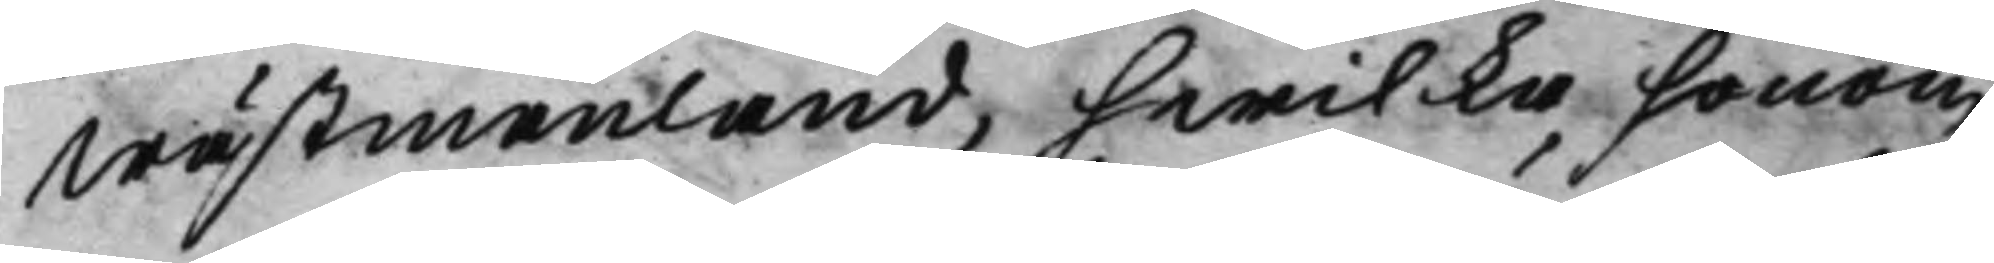Wästmanland, hwilka honom
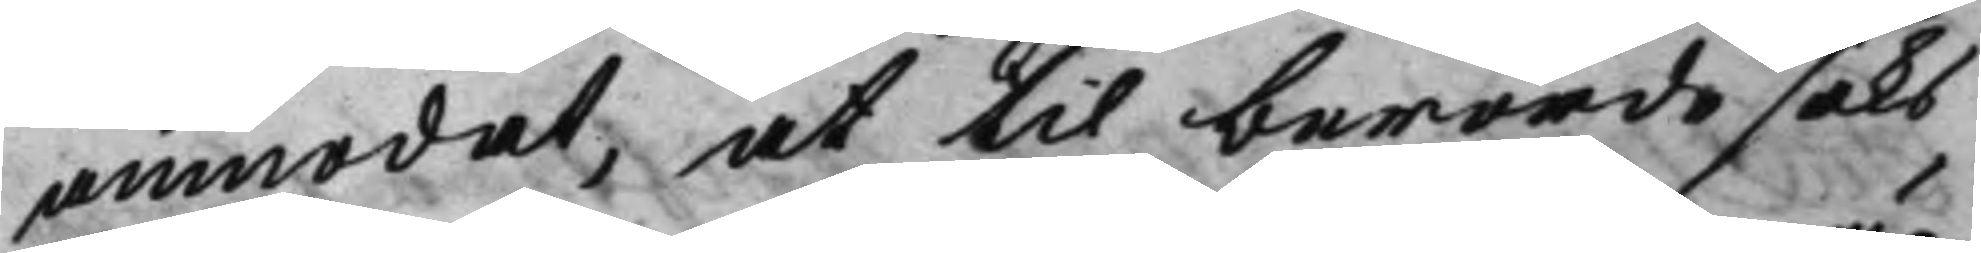anmodat, at til berörde saks
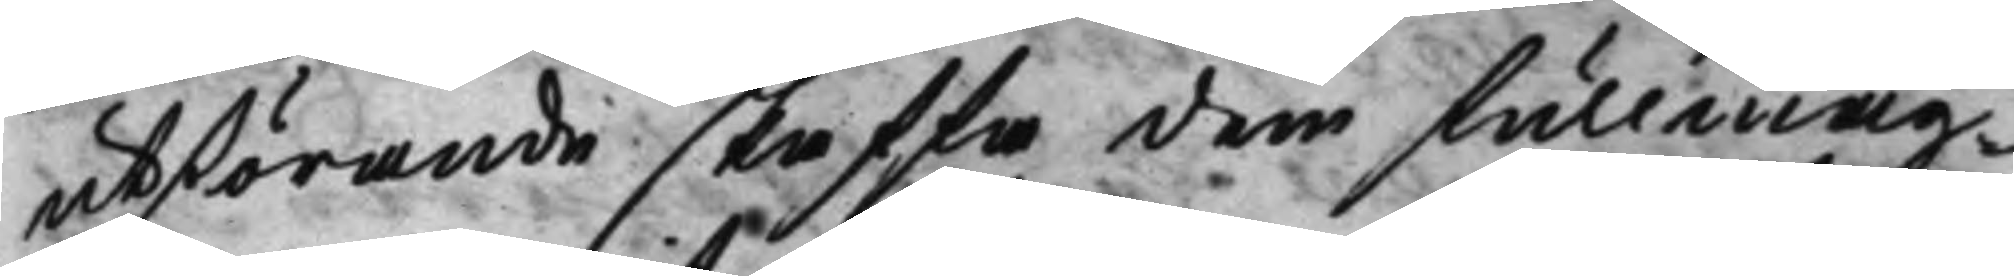utstörande skaffa dem fullmäg¬
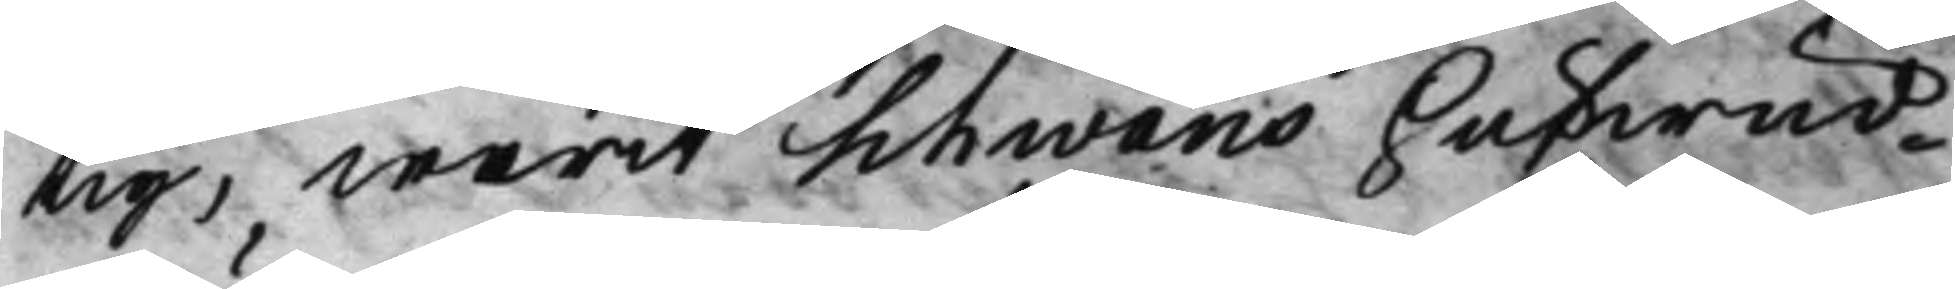tig, warit Schwans hufwud¬
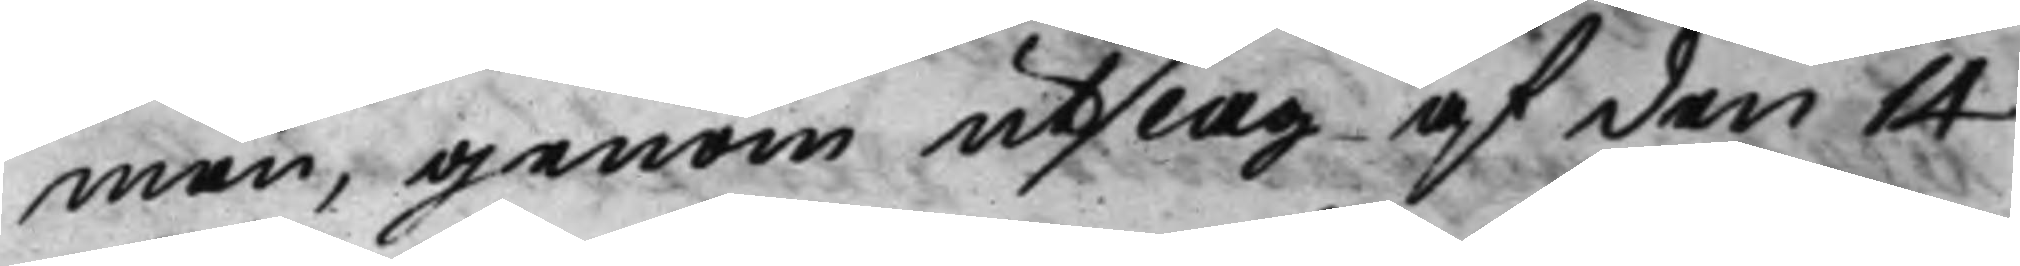män, genom utslag af den 14
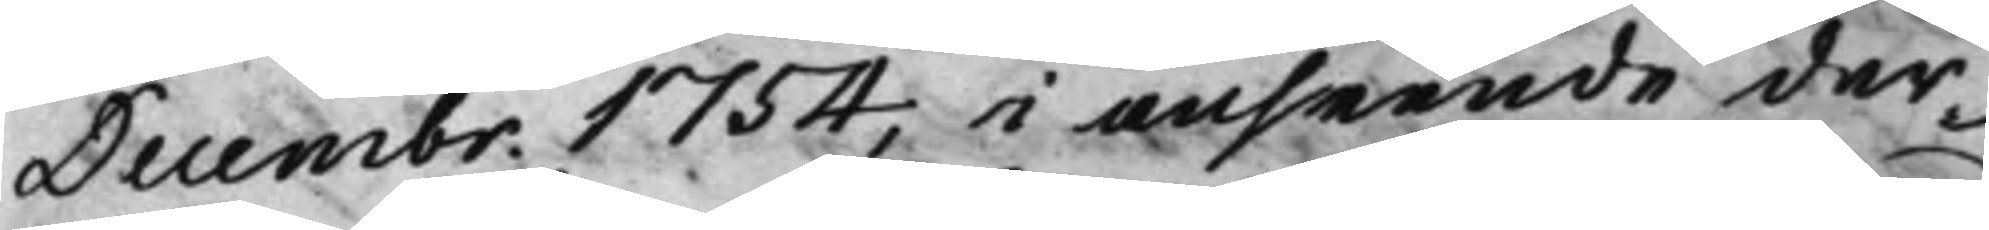Decembr. 1754, i anseende der¬ 
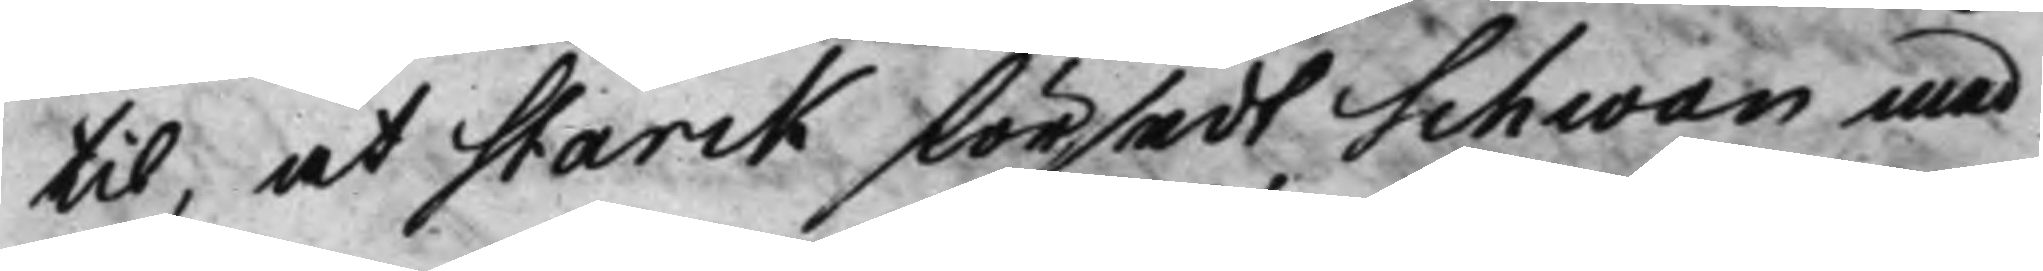til, at Starck försedt Schwan med
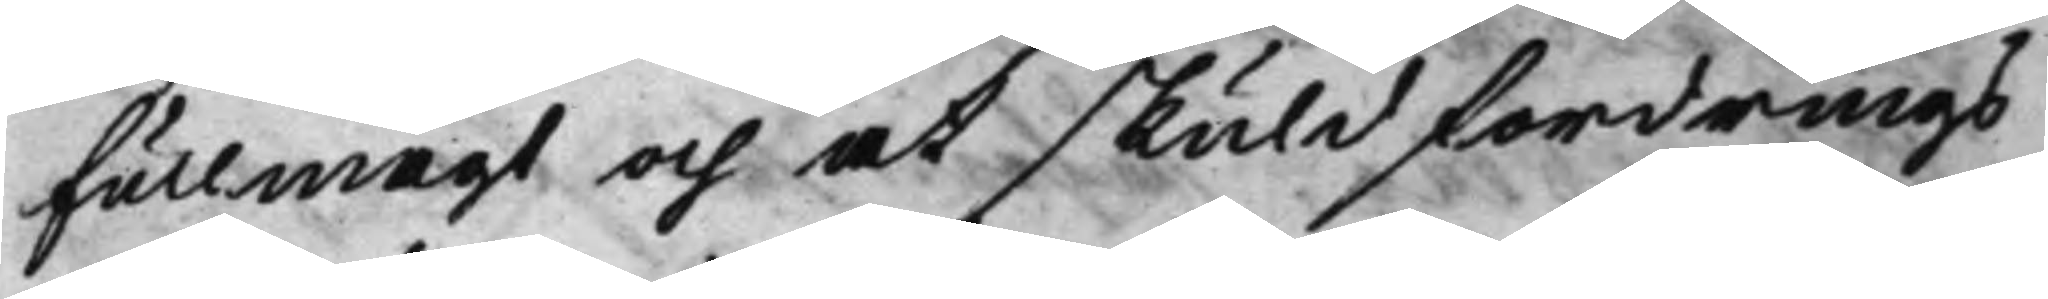Fullmagt och at skuldfordrings¬
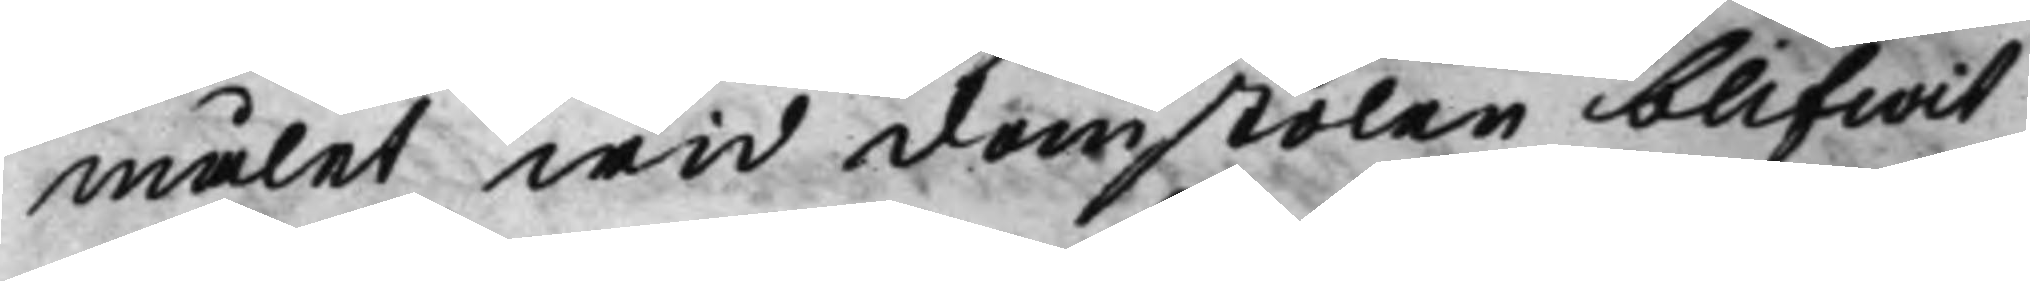målet wid domstolen blifwit
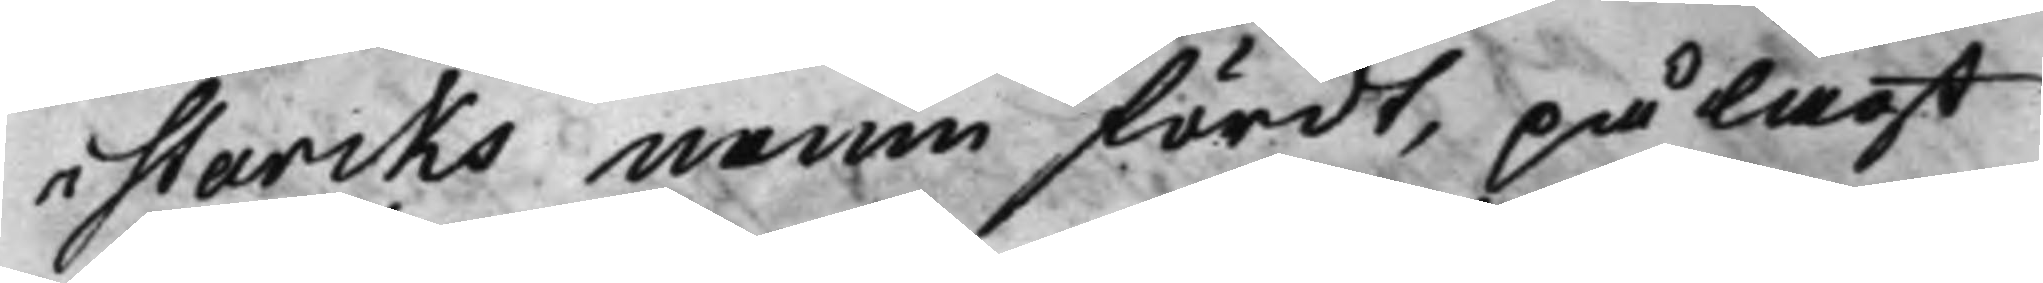i Starcks namn fördt, pålagt
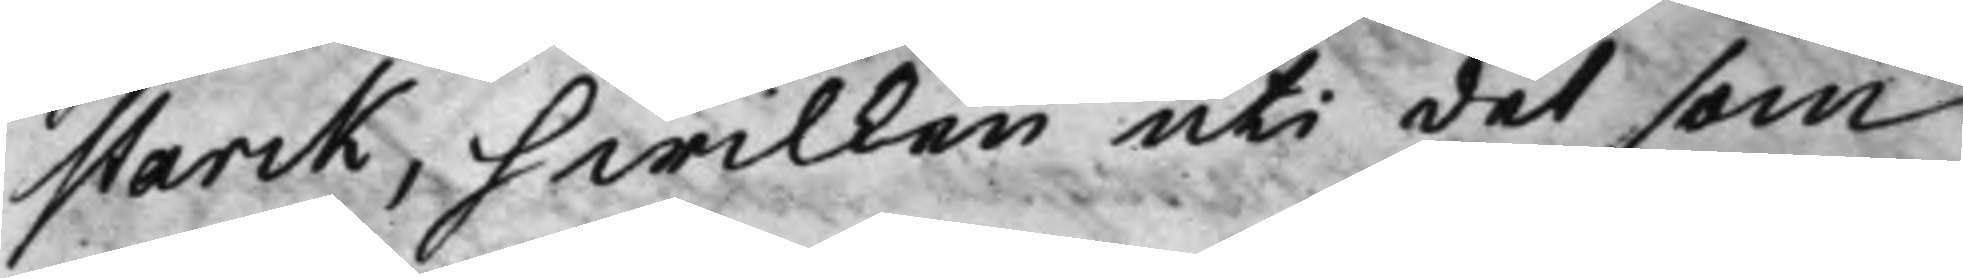Starck, hwilken uti det som
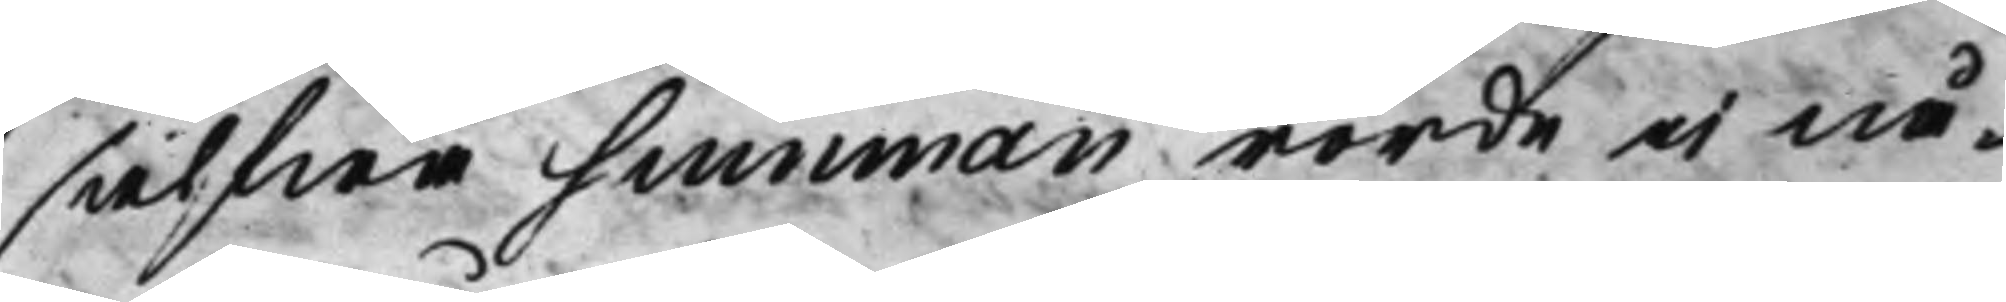sielfwa summan rörde ei nå¬
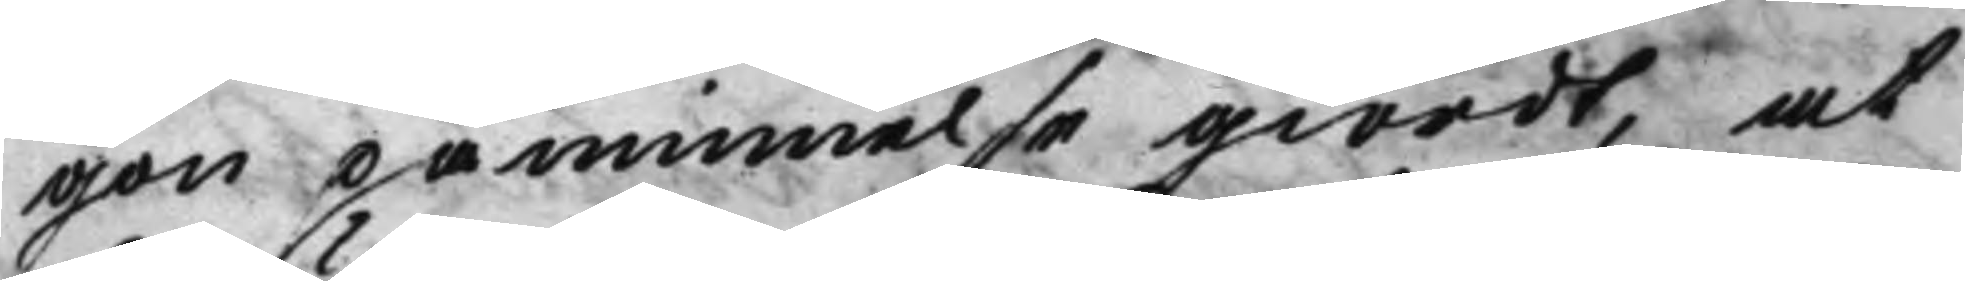gon påminnelse giordt, at
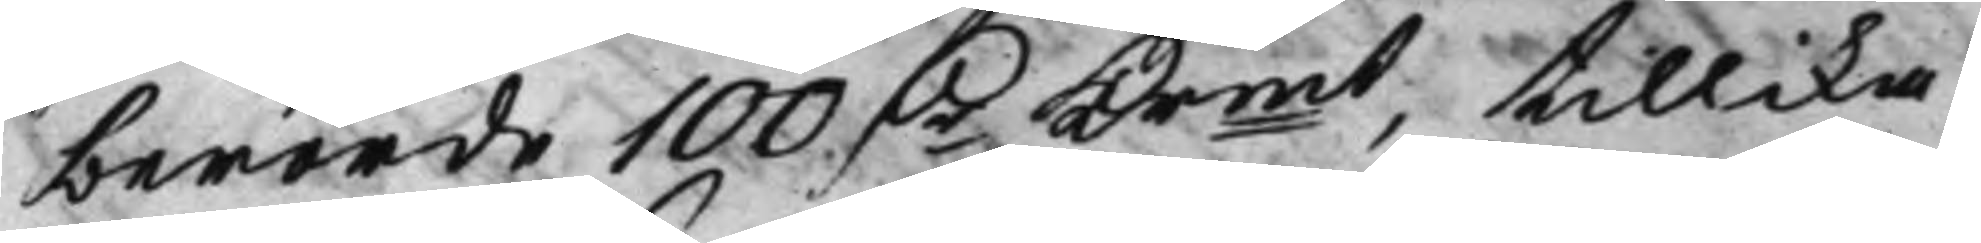berörde 100 Dr Krmt, tillika 
